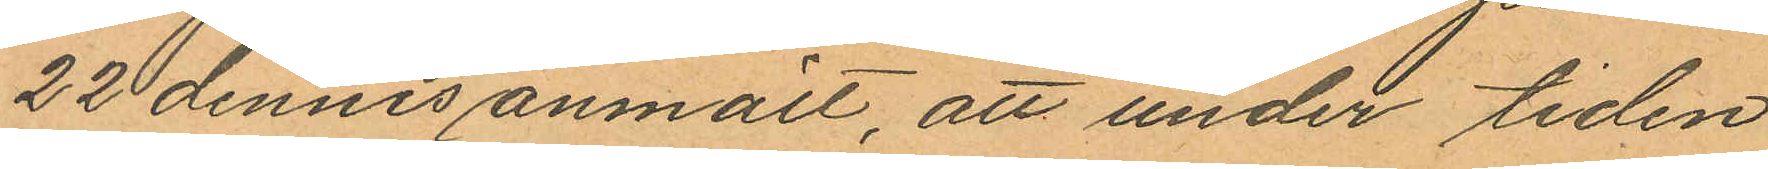22 dennes anmält, att under tiden
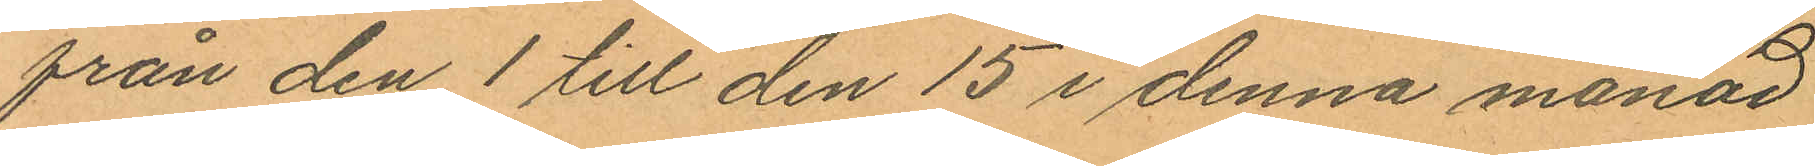från den 1 till den 15 i denna månad
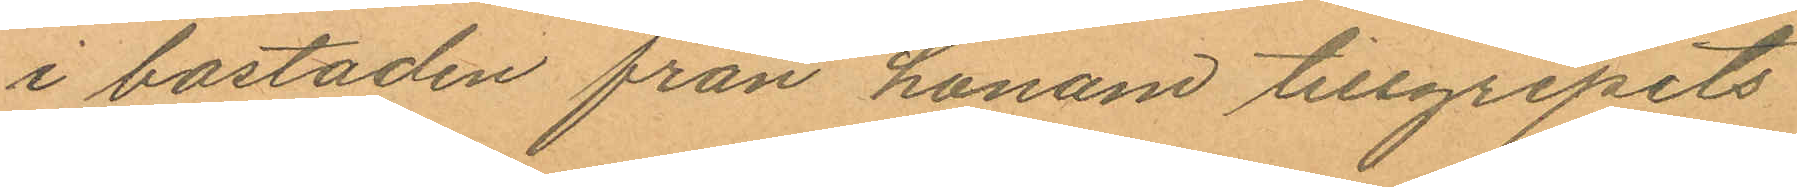i bostaden från honom tillgripits
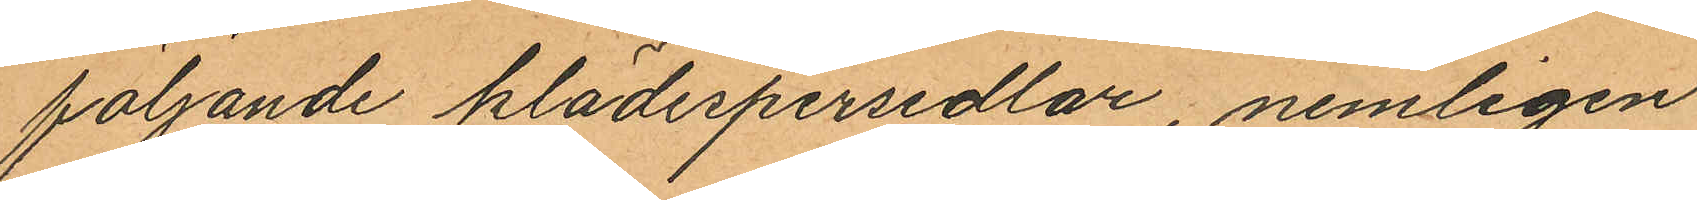följande klädespersedlar, nemligen
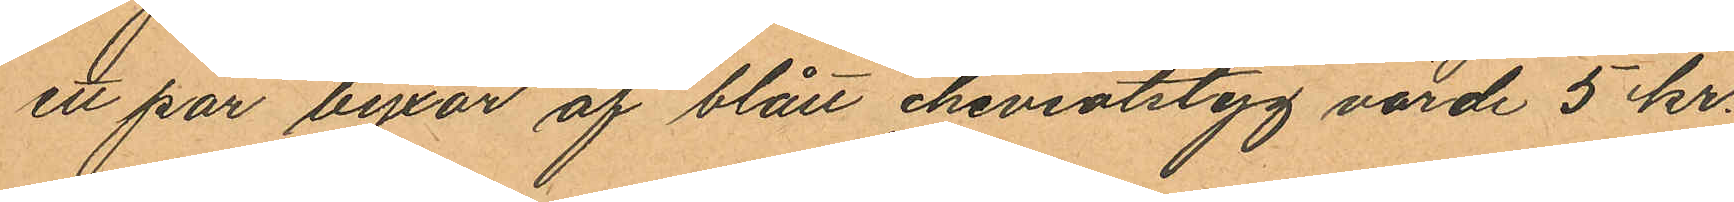ett par byxor af blått cheviotstyg värde 5 kr.
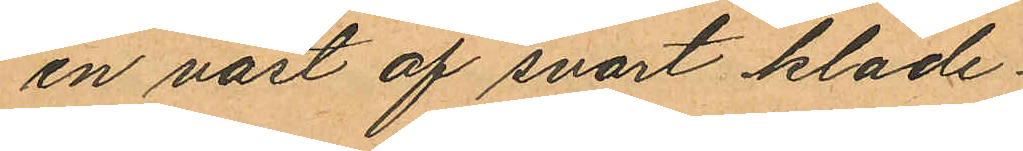en väst af svart kläde
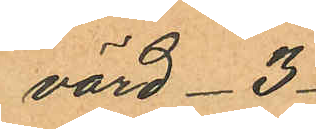värd 3
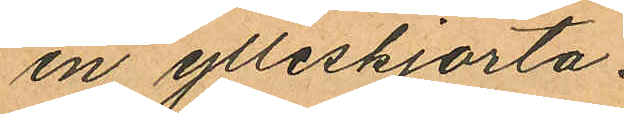en ylleskjorta
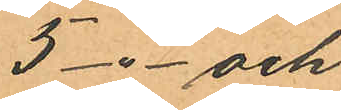5 -"- och
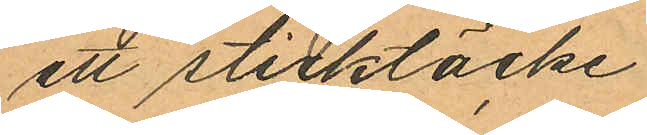ett sticktäcke
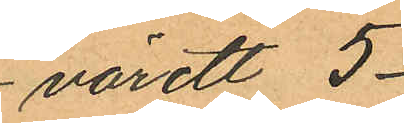värdt 5
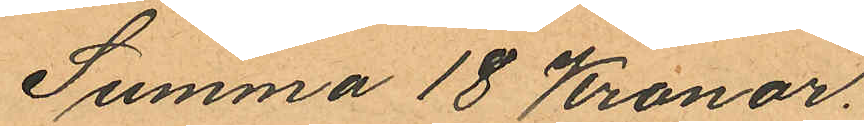Summa 18 Kronor.
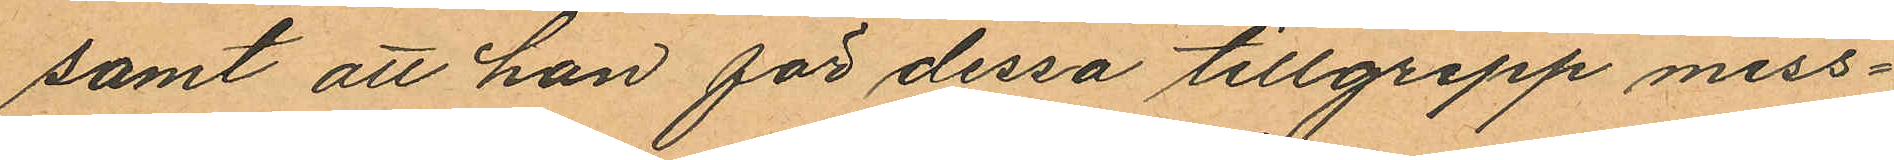samt att han för dessa tillgrepp miss¬
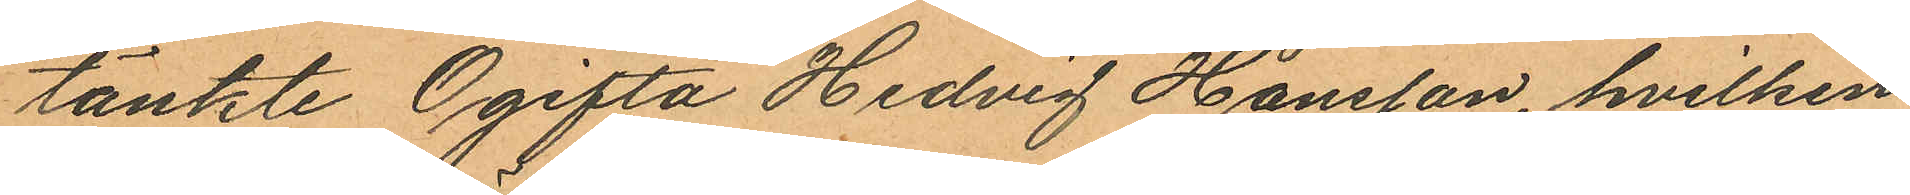tänkte Ogifta Hedvig Hansson, hvilken
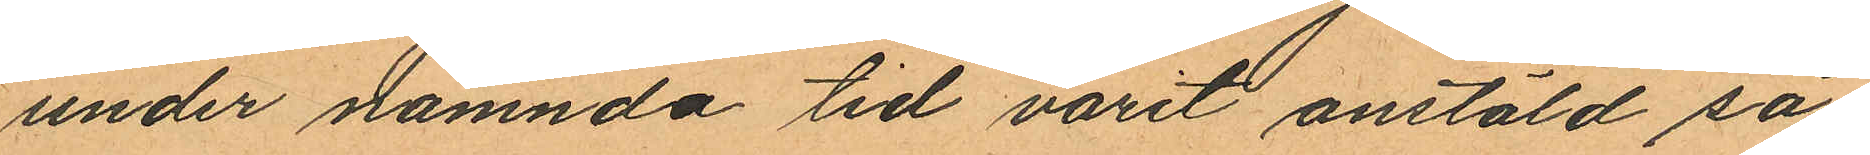under nämnda tid varit anstäld så¬
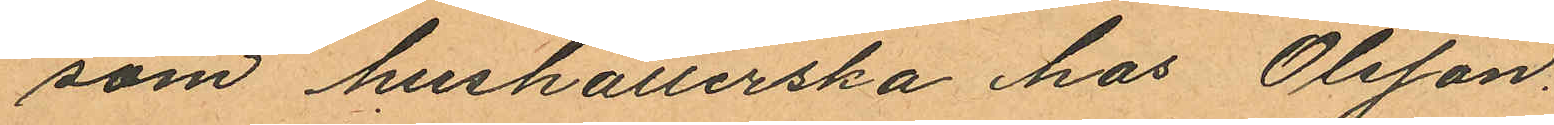som hushållerska hos Olsson.
